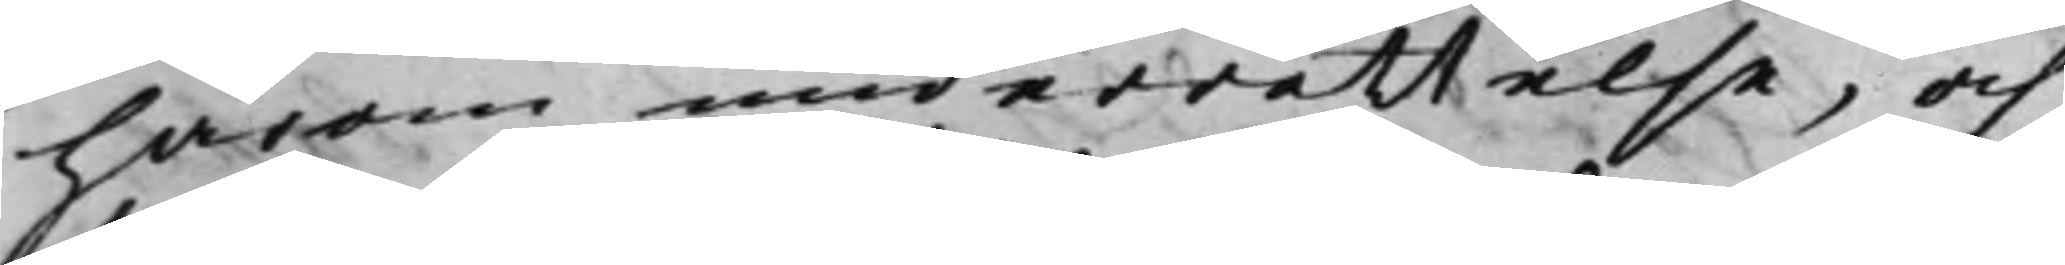härom underrättelse, och
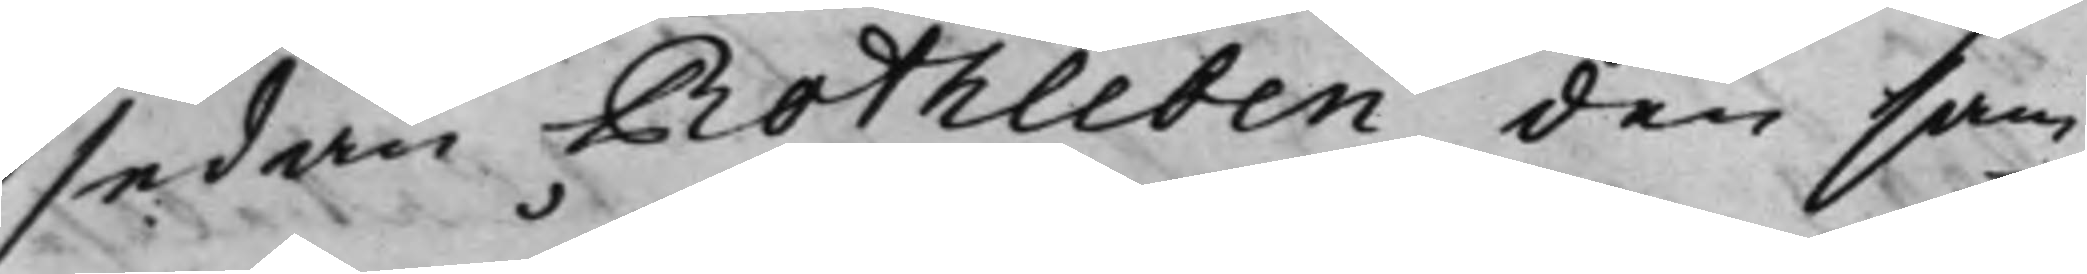sedan Rothleben den sam¬
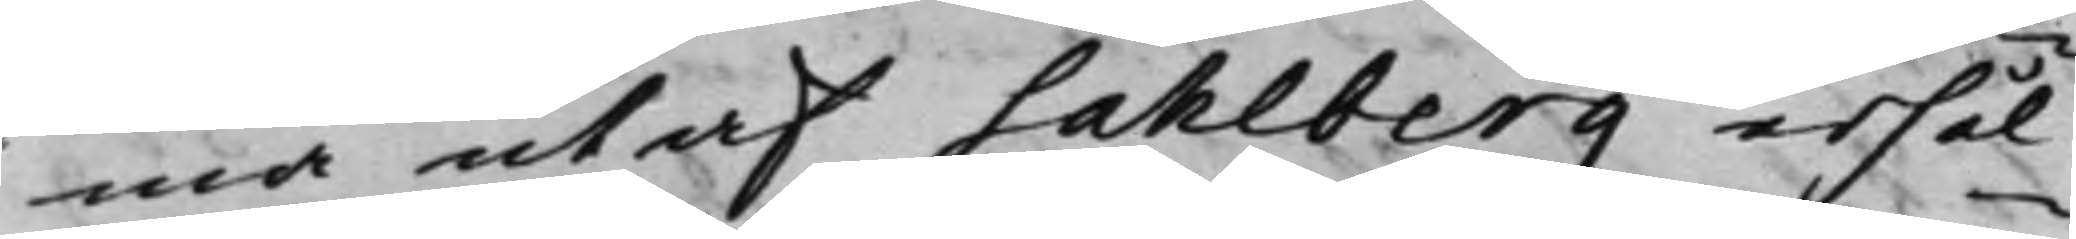ma utaf Sahlberg erhål¬
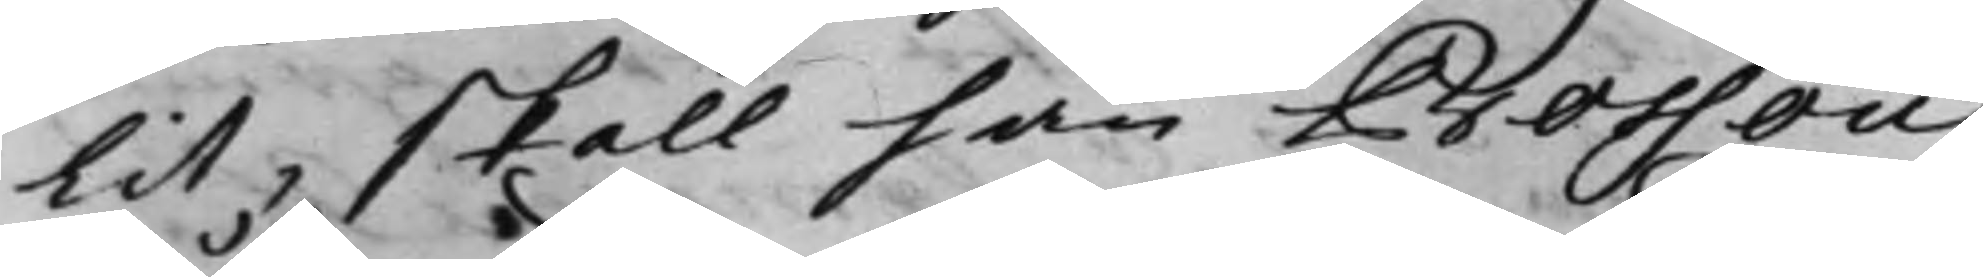lit, skall han Bossou
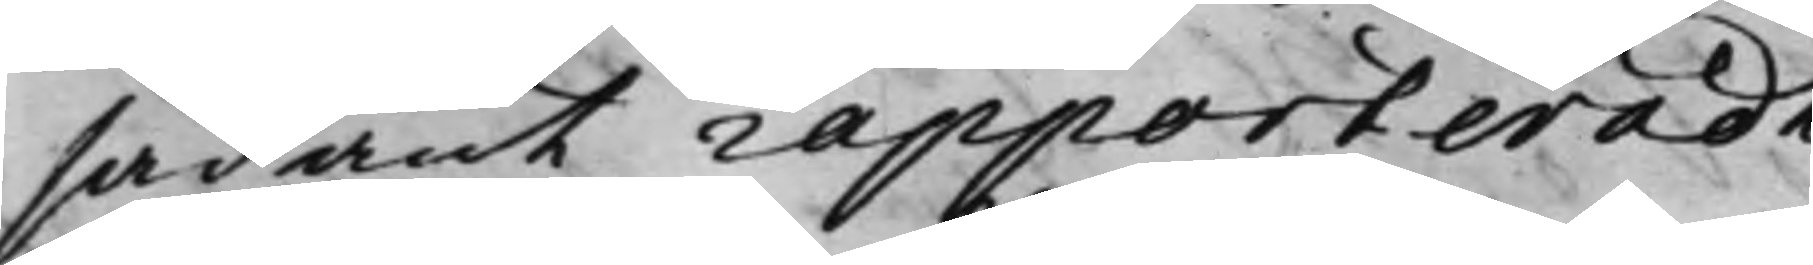sådant rapporteradt.
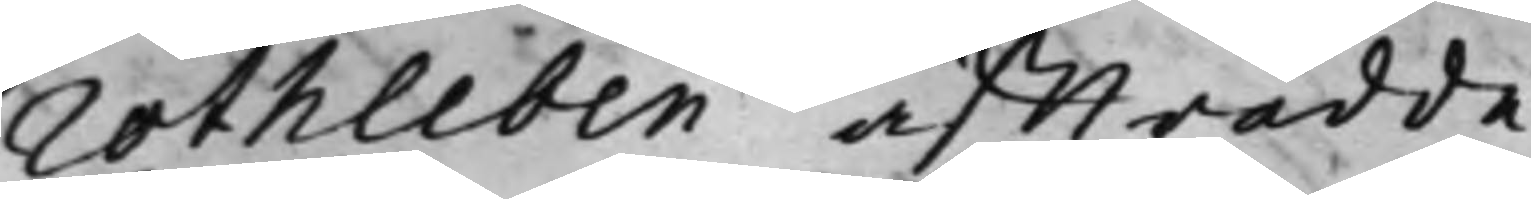Rothleben affträdde.
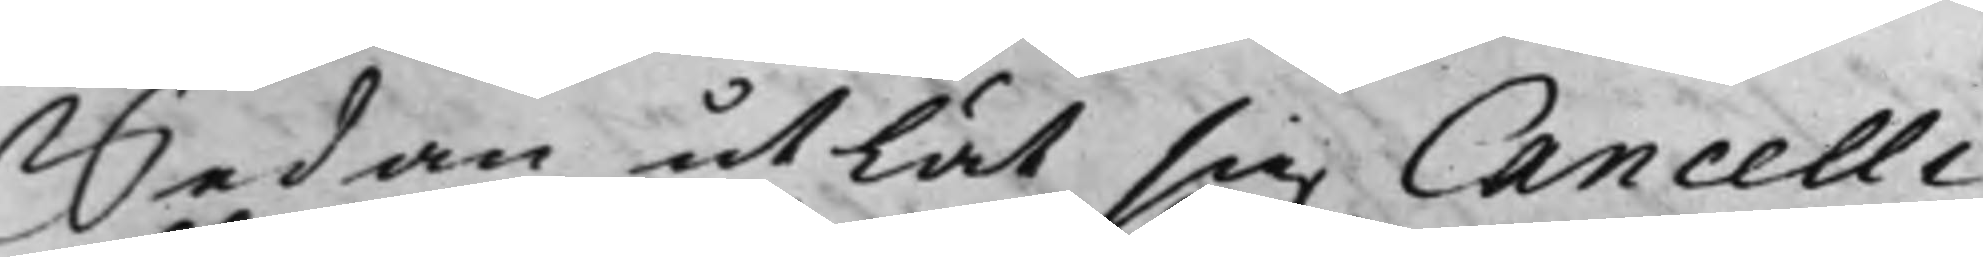Sedan utlät sig Cancelli¬
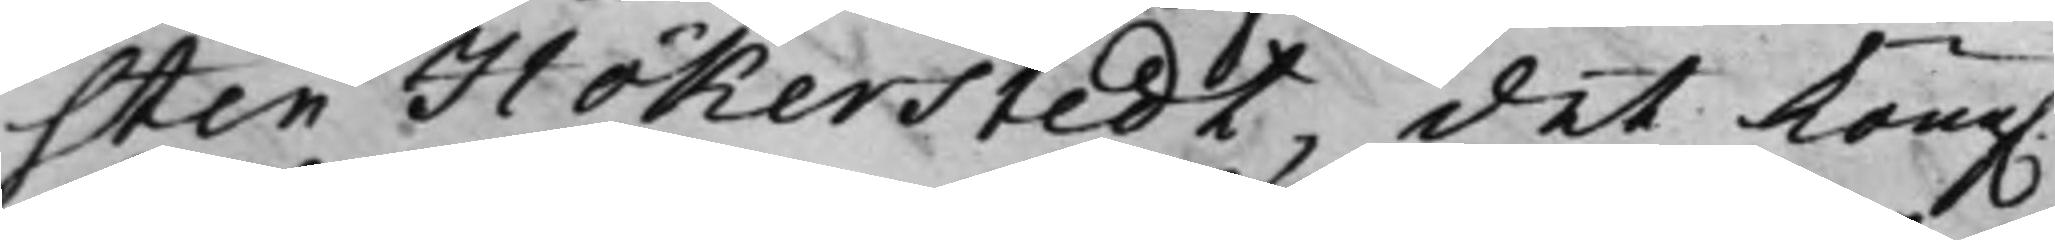sten Hökerstedt, det Kong.
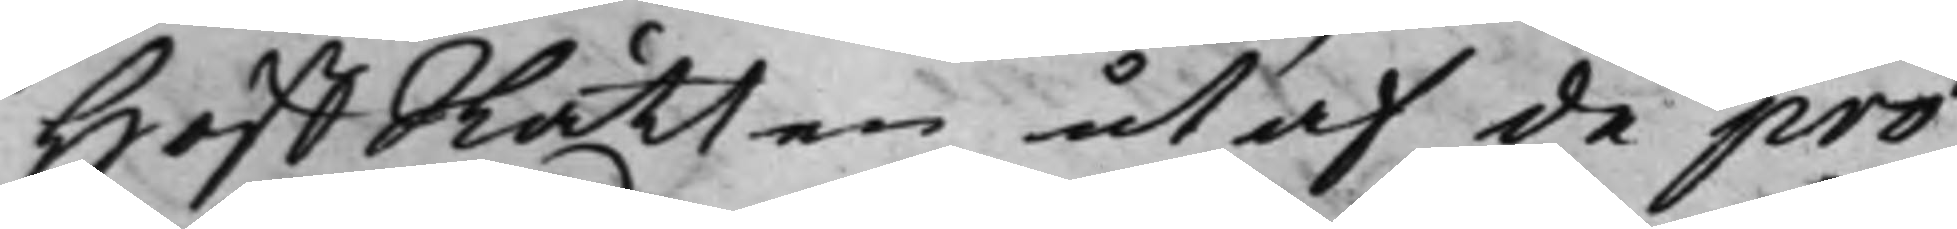HoffRätten utaf de pro¬
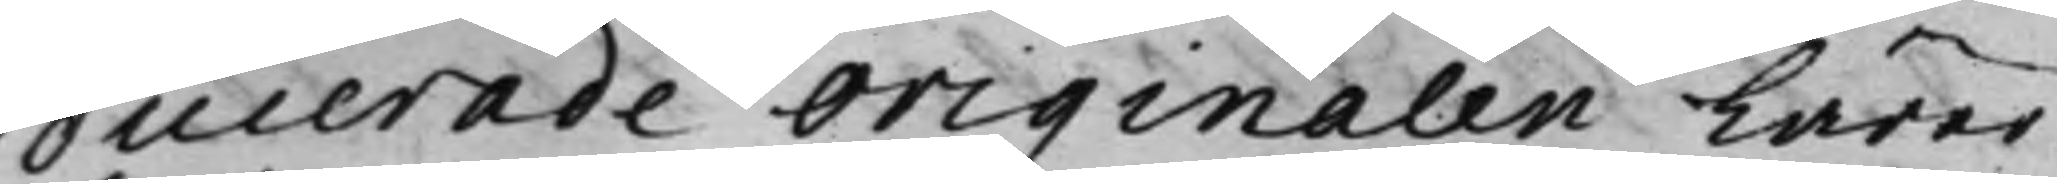ducerade originalen Lärer
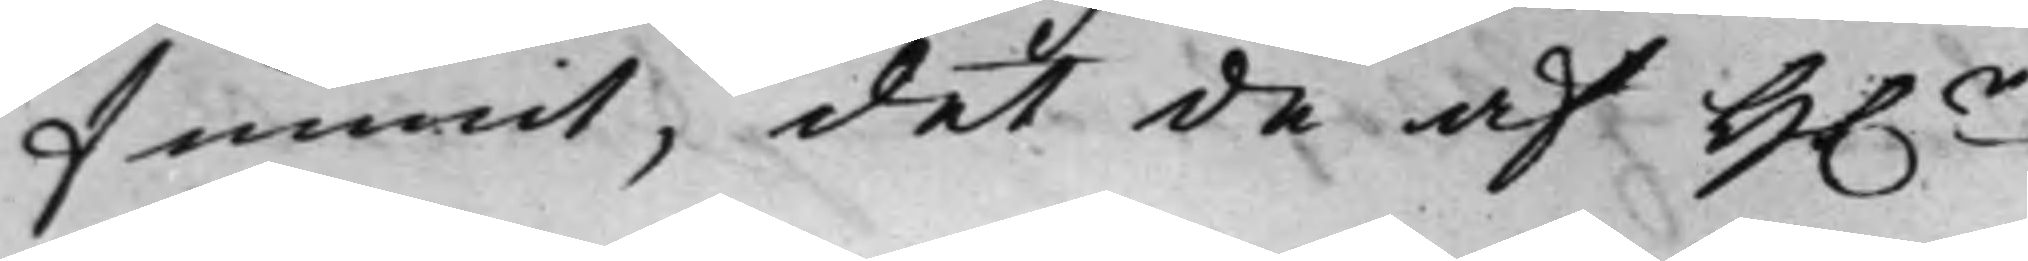funnit, det de af H.r
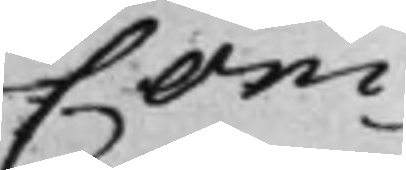Com¬
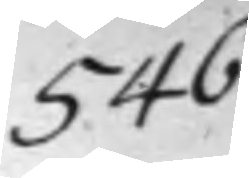546
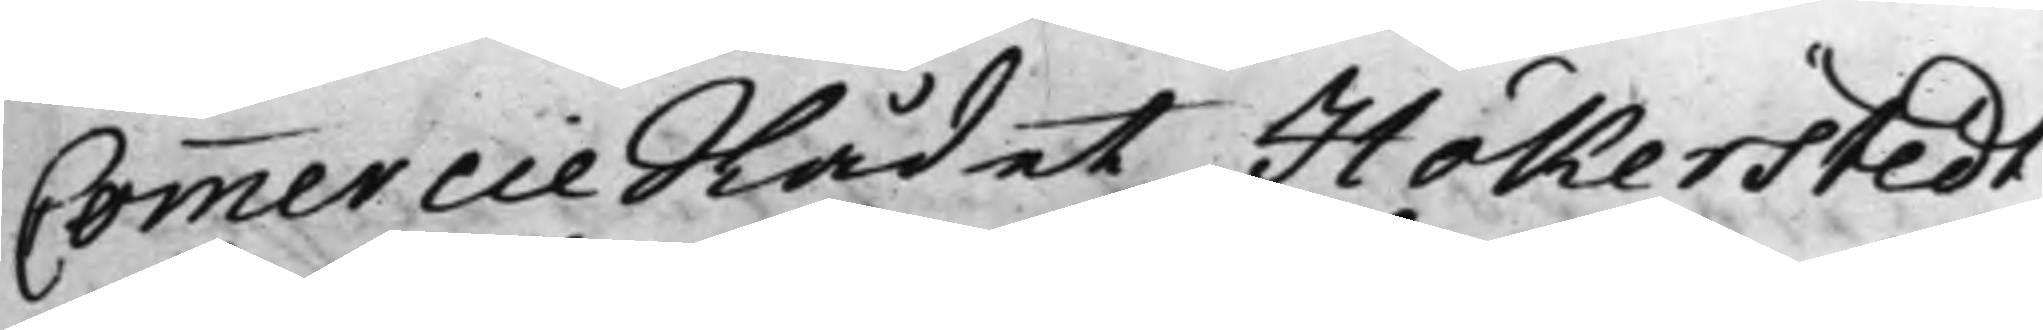CommercieRådet Hökerstedt
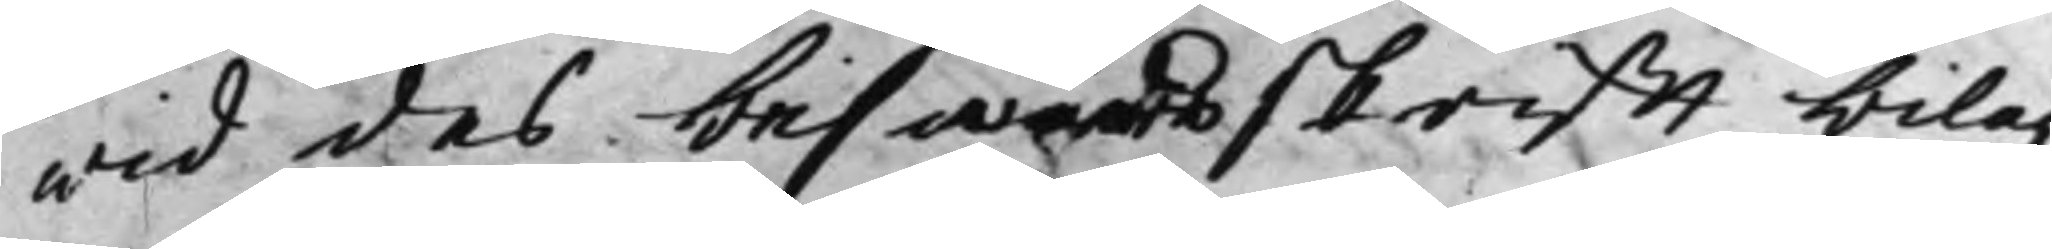wid des beswärsskrifft bilag¬
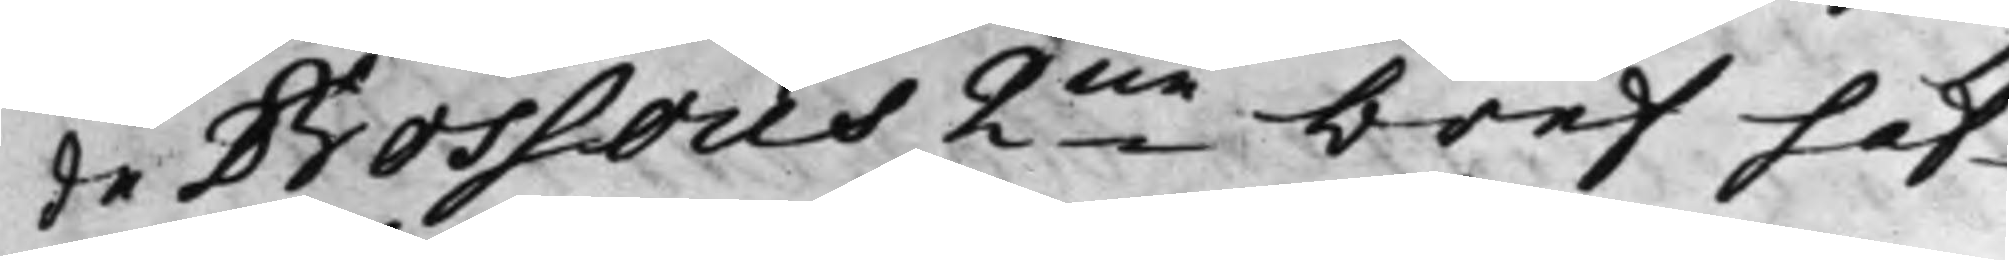de Bossous 2ne bref haf¬
